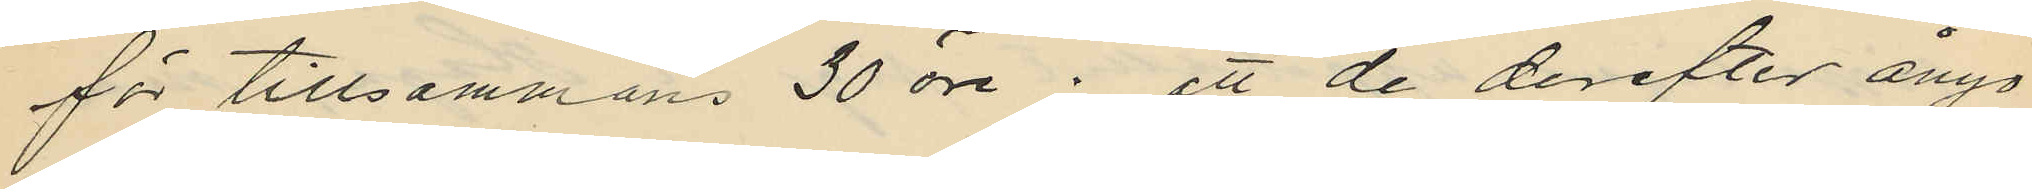för tillsammans 30 öre; att de derefter ånyo
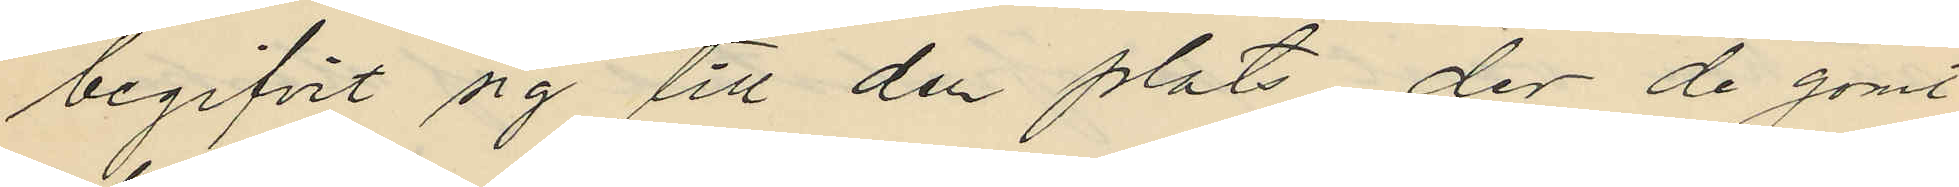begifvit sig till den plats, der de gömt
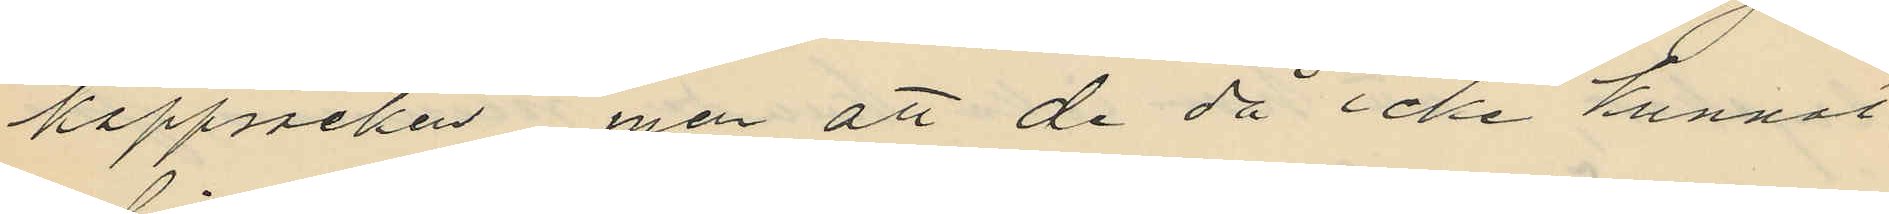kappsäcken men att de då icke kunnat
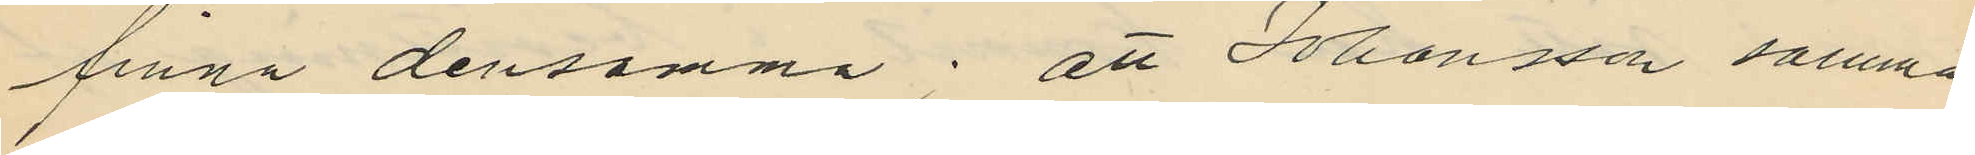finna densamma; att Johansson samma
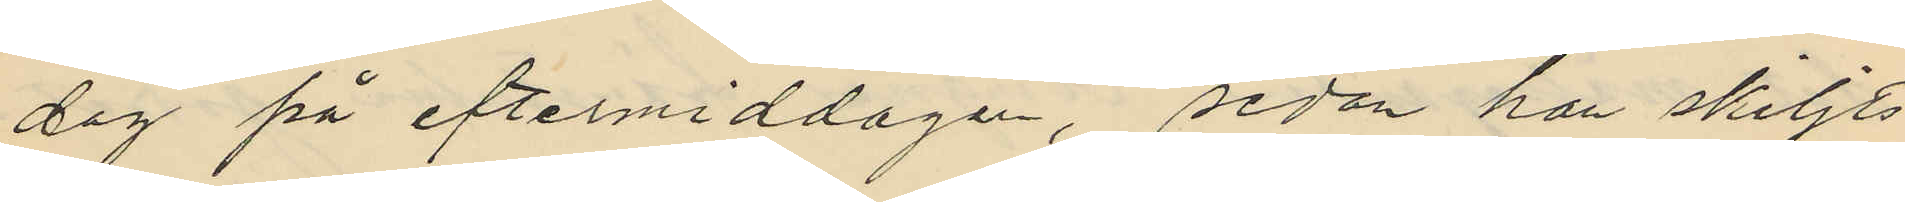dag på eftermiddagen, sedan han skiljts
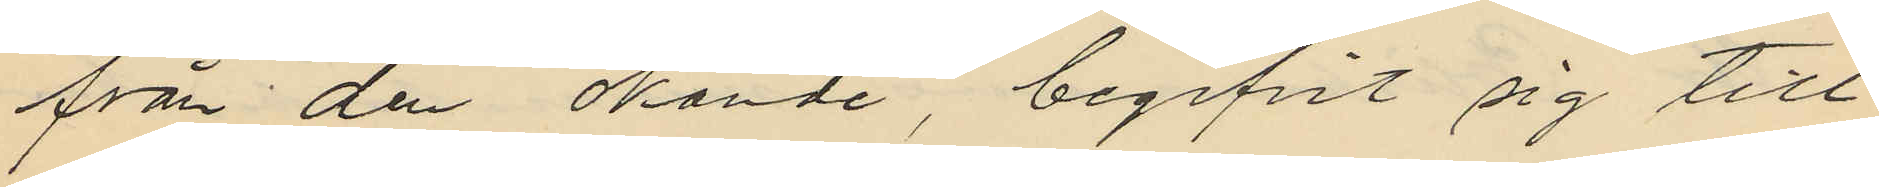från den okände, begifvit sig till
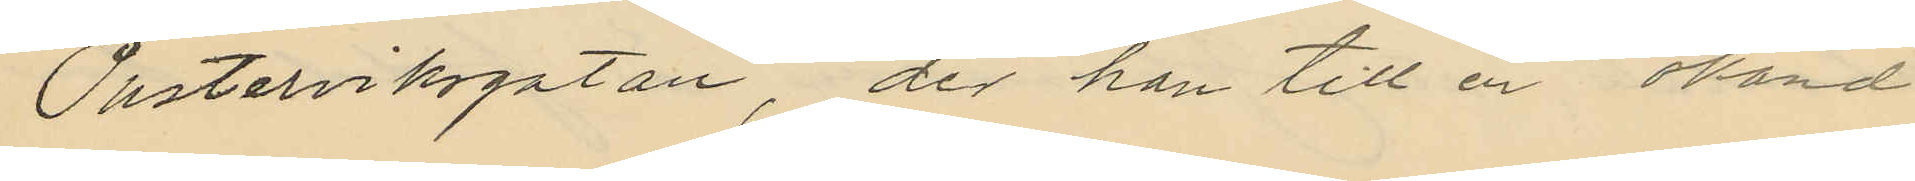Pusterviksgatan, der han till en okänd
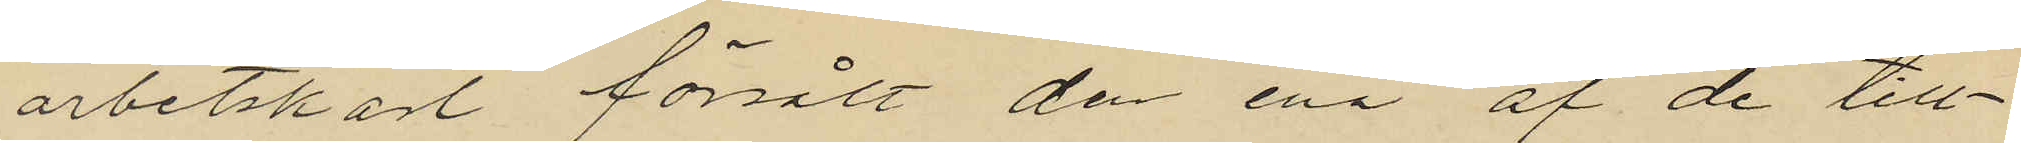arbetskarl försålt den ena af de till¬
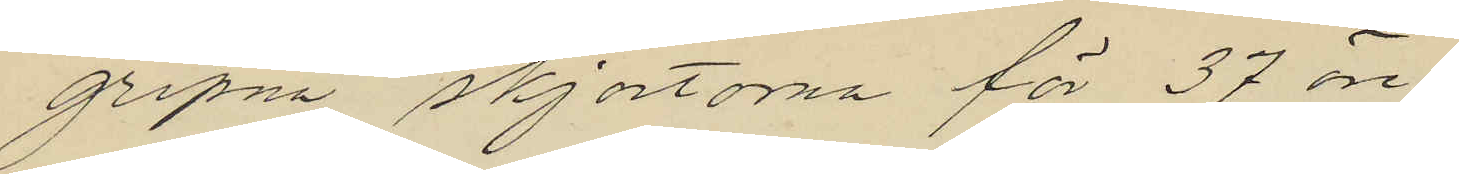gripna skjortorna för 37 öre.
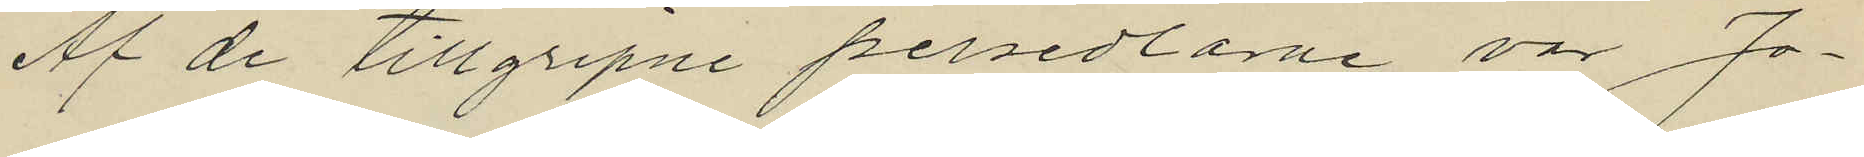Af de tillgripne persedlarne var Jo¬
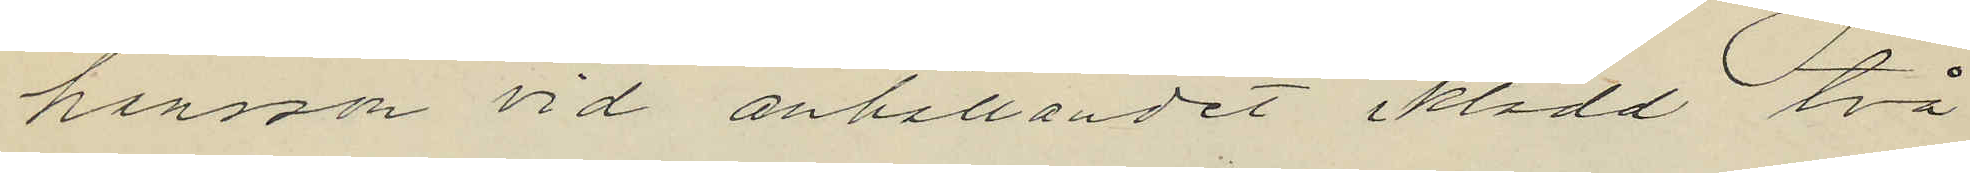hanson vid anhållandet iklädd två
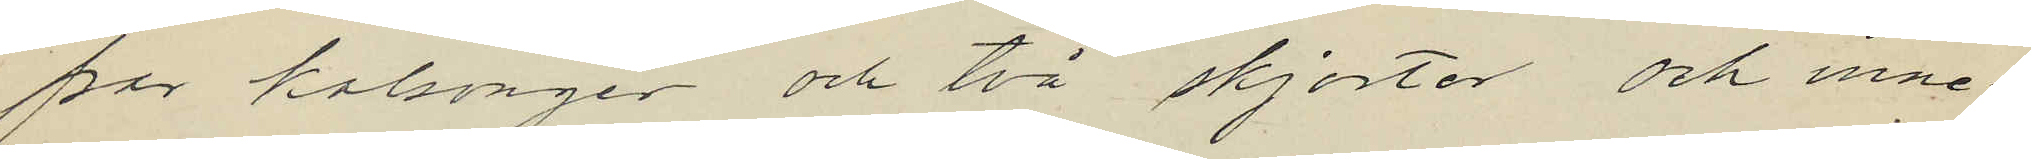par kalsonger och två skjortor och inne¬
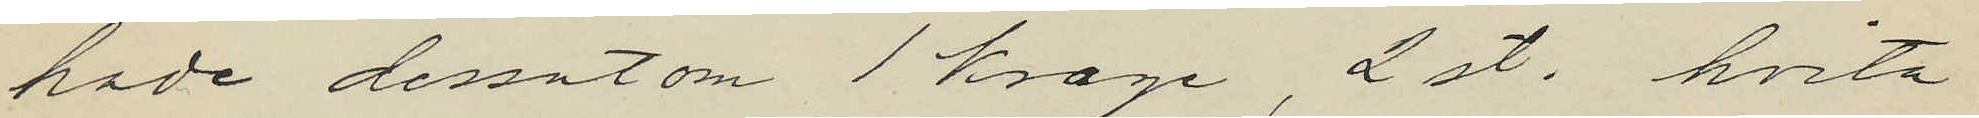hade dessutom 1 krage, 2 st. hvita
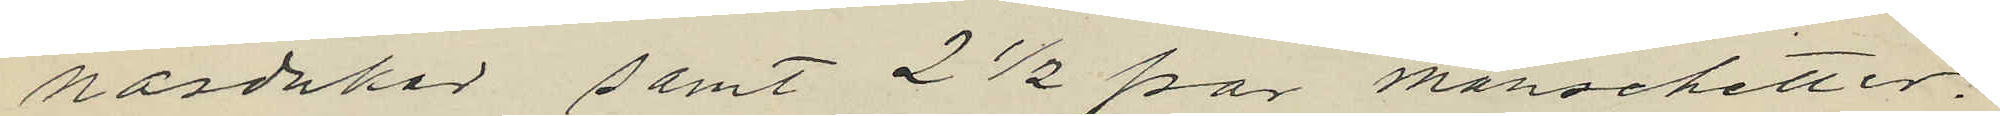näsdukar samt 2½ par manschetter.
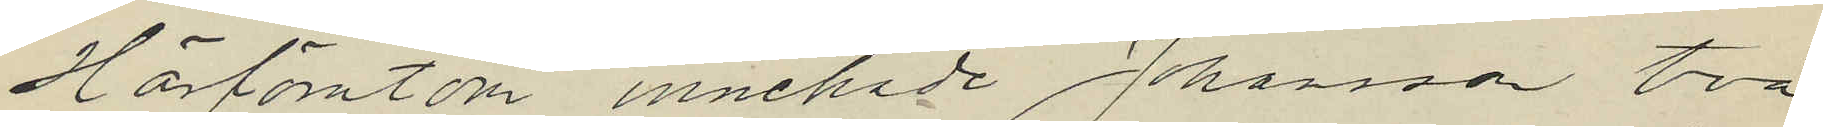Härförutom innehade Johansson två
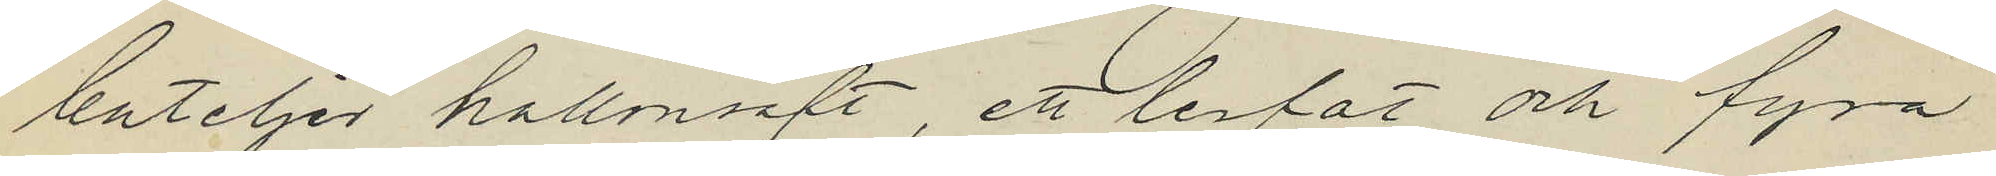buteljer hallonsaft, ett lerfat och fyra
